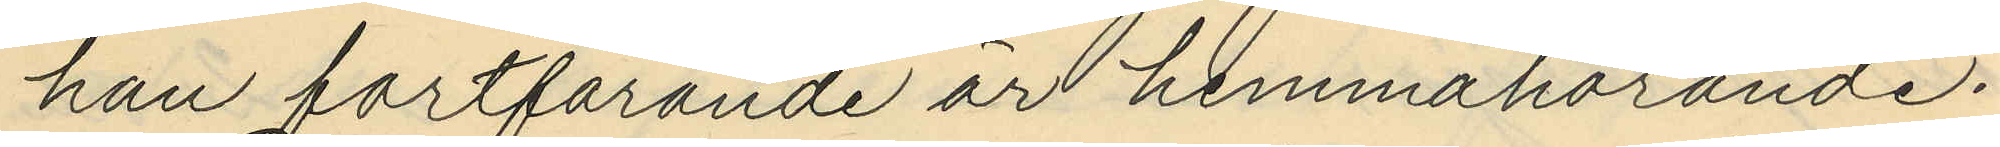han fortfarande är hemmahörande.
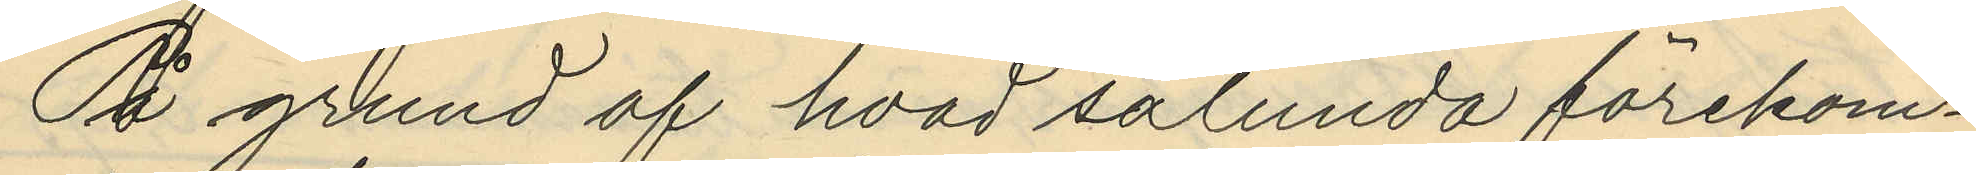På grund af hvad sålunda förekom¬
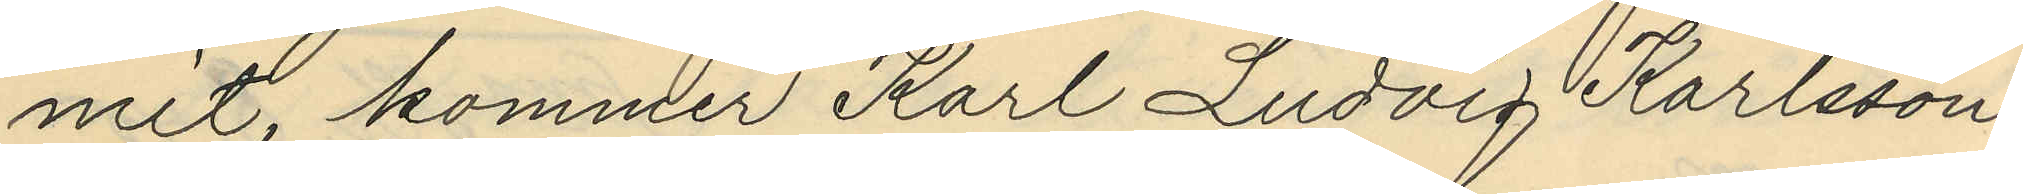mit, kommer Karl Ludvig Karlsson
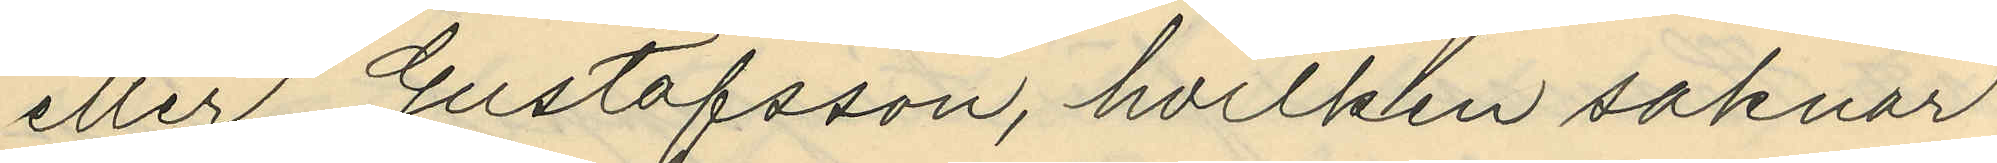eller Gustafsson, hvilken saknar
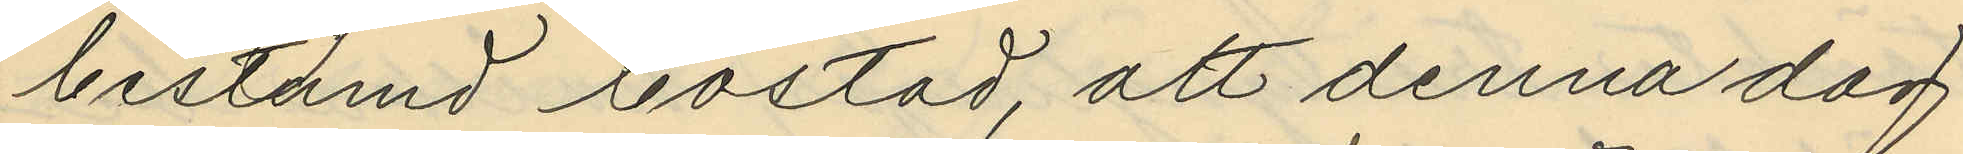bestämd bostad, att denna dag
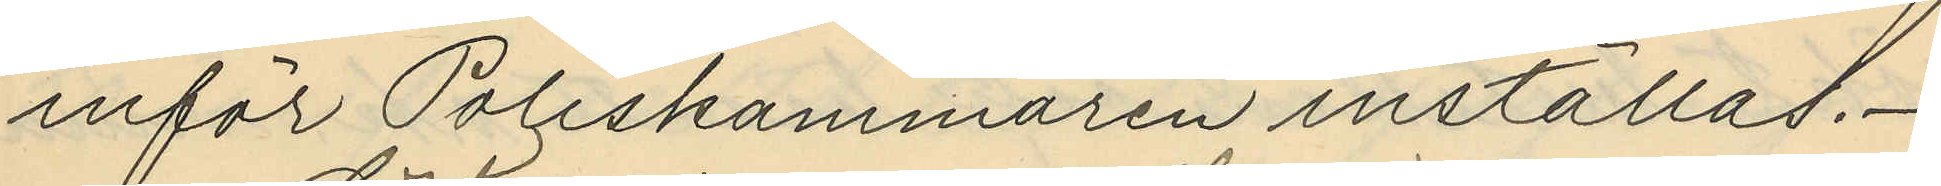inför Poliskammaren inställas.
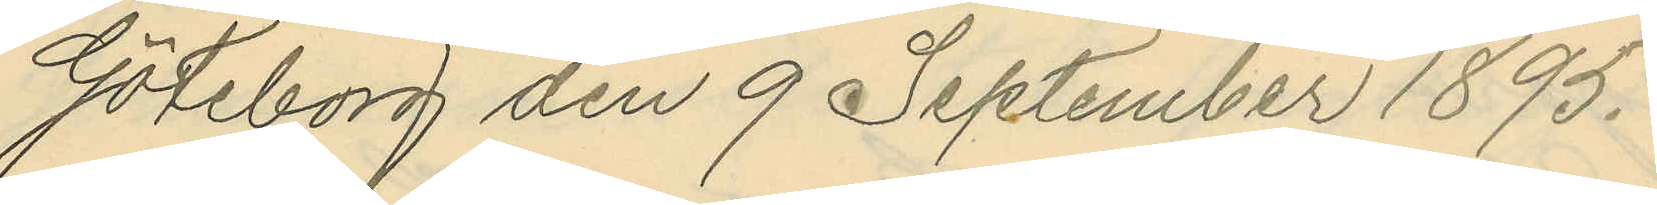Göteborg den 9 September 1895.
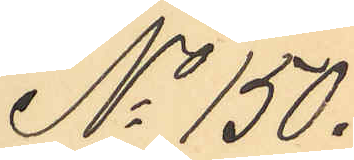No 150.
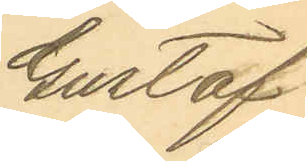Gustaf
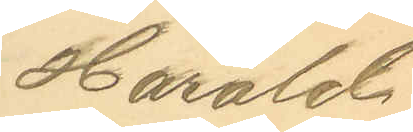Harald
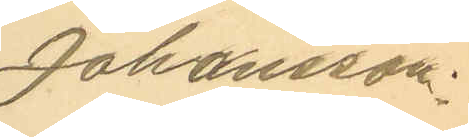Johansson.
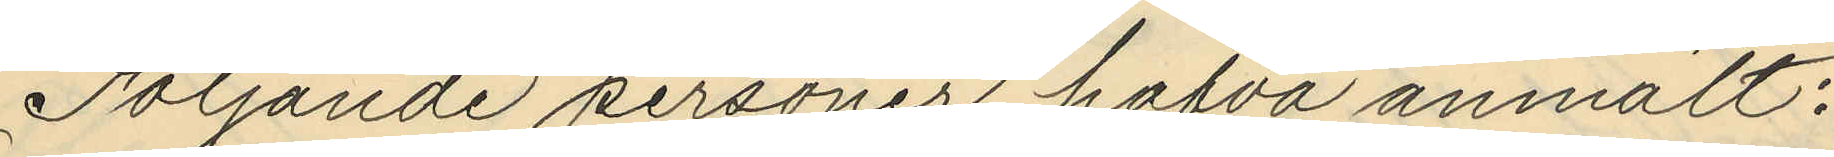Följande personer hafva anmält:
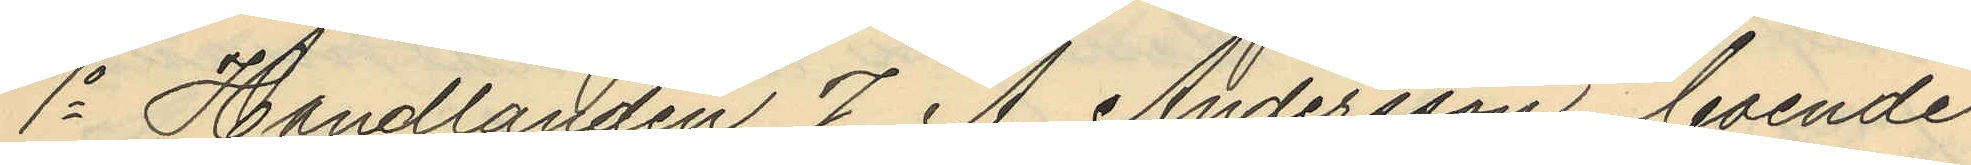1o Handlanden J. A. Andersson boende
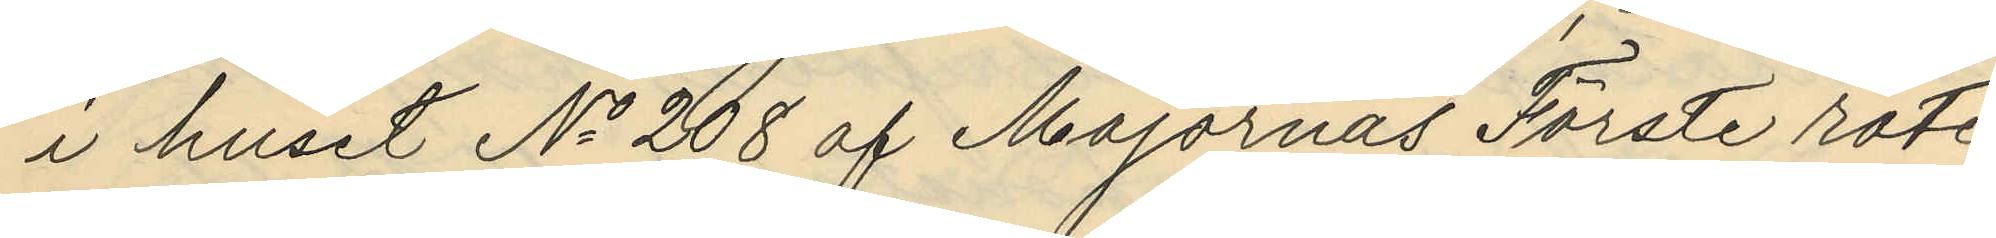i huset No 208 af Majornas Förste rote,
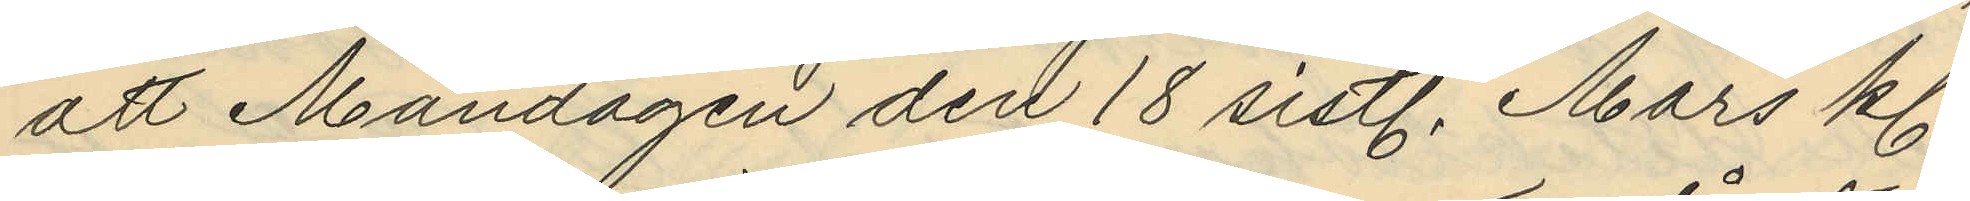att Måndagen den 18 sistl. Mars kl.
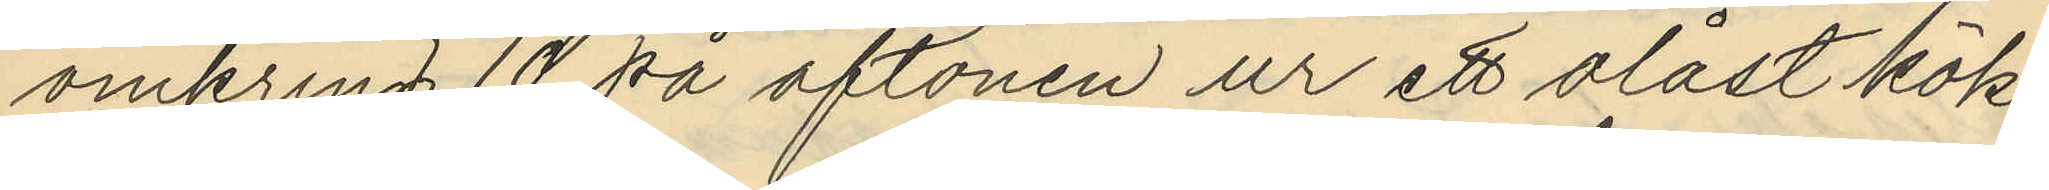omkring 10 på aftonen ur ett olåst kök
